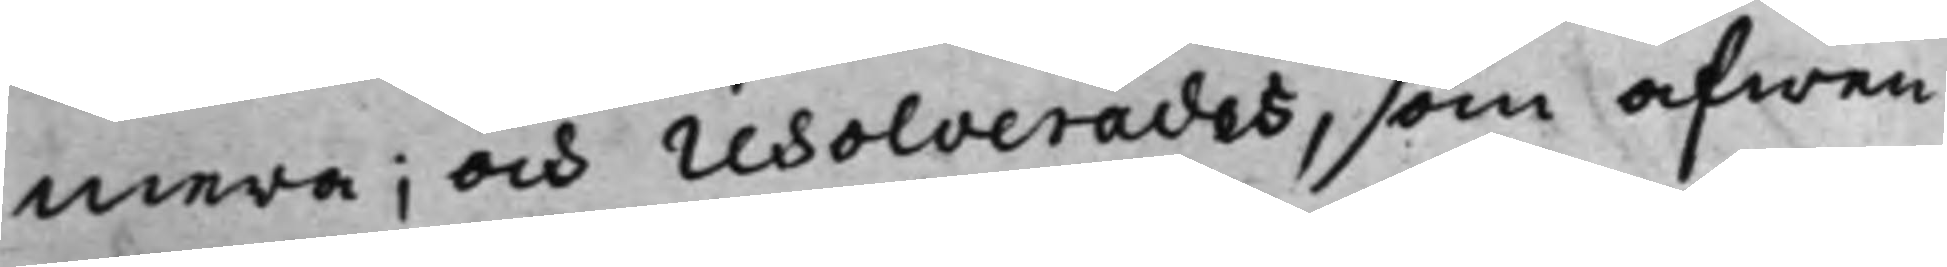mera; och resolverades, som äfwen
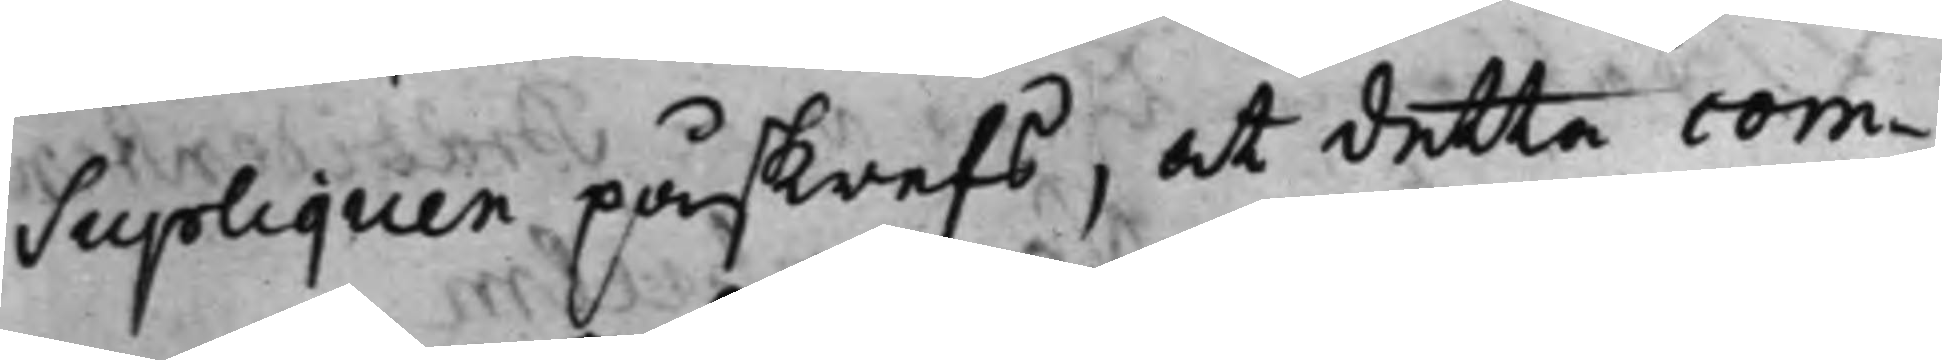Supliquen påskrefs, at detta com¬
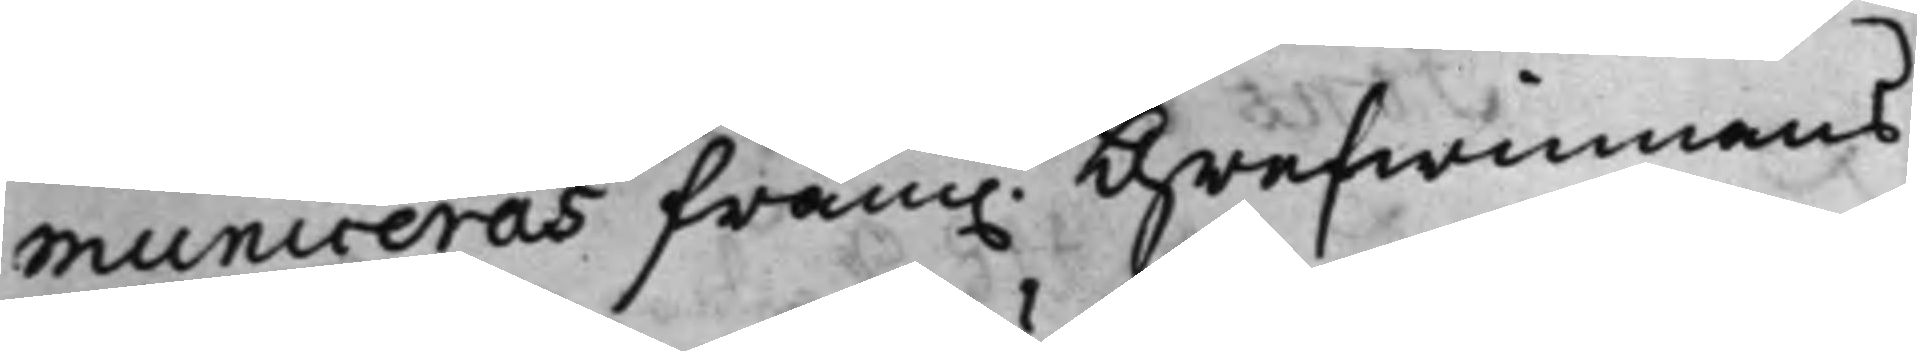municeras fram. Grefwinnans
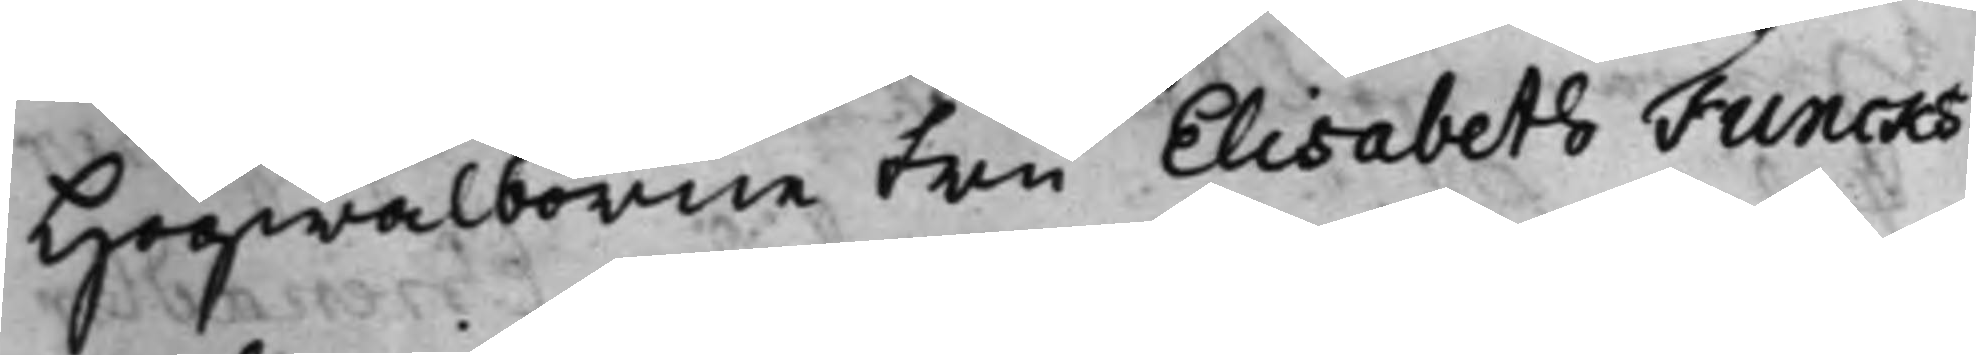Högwälborne Fru Elisabeth Funcks
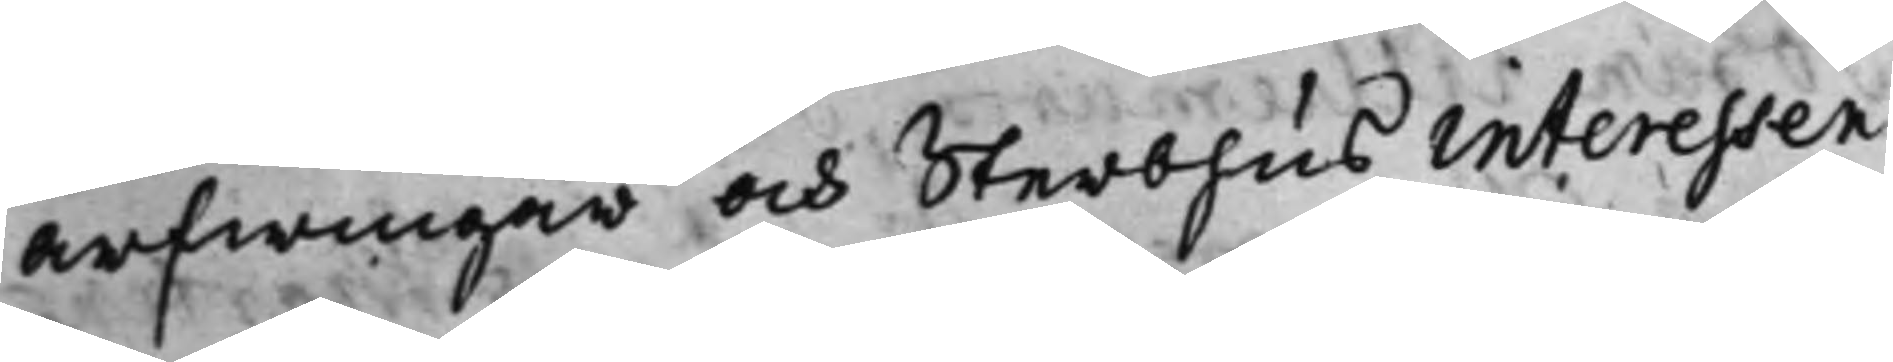arfwingar och Sterbhus interessen¬
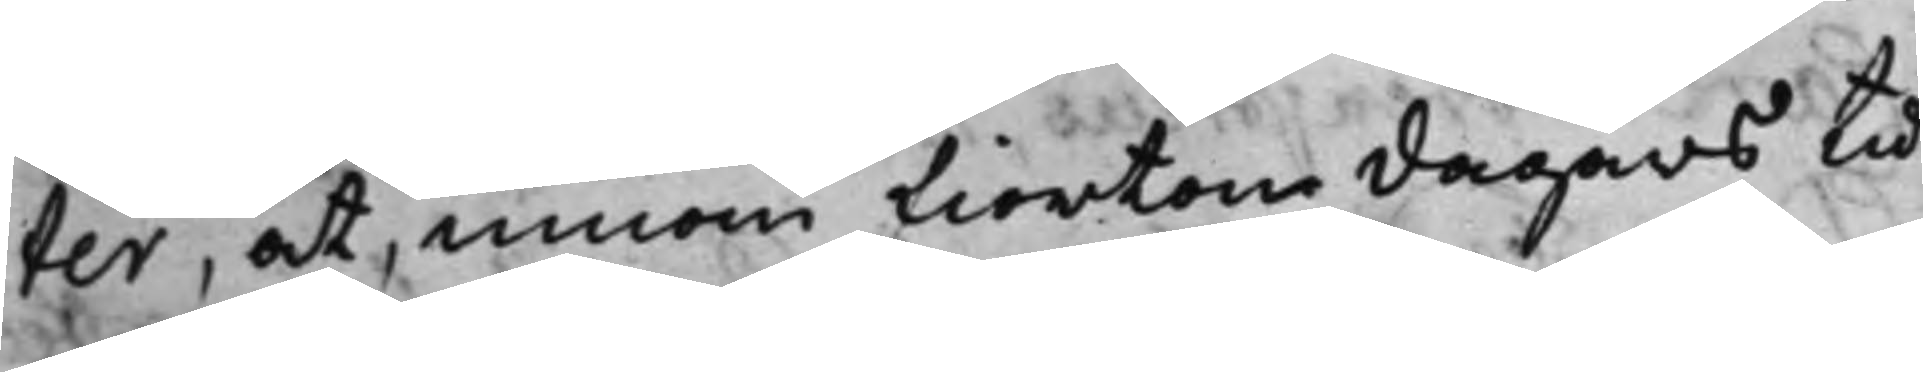ter, at, innom fiorton dagars tid
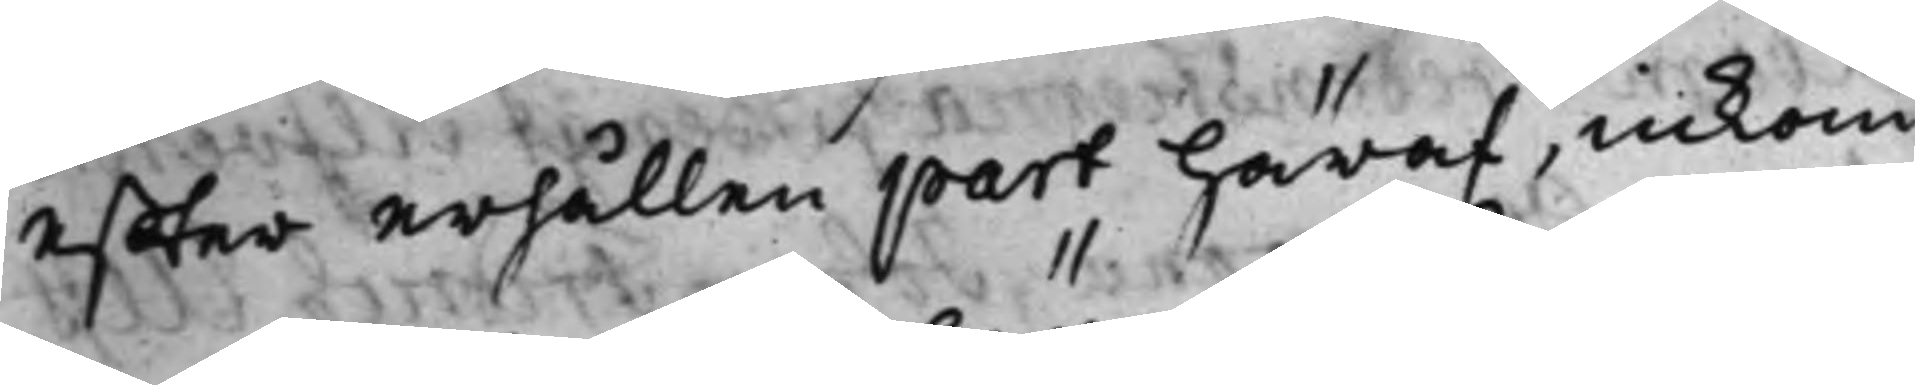effter erhållen part häraf, inkom¬
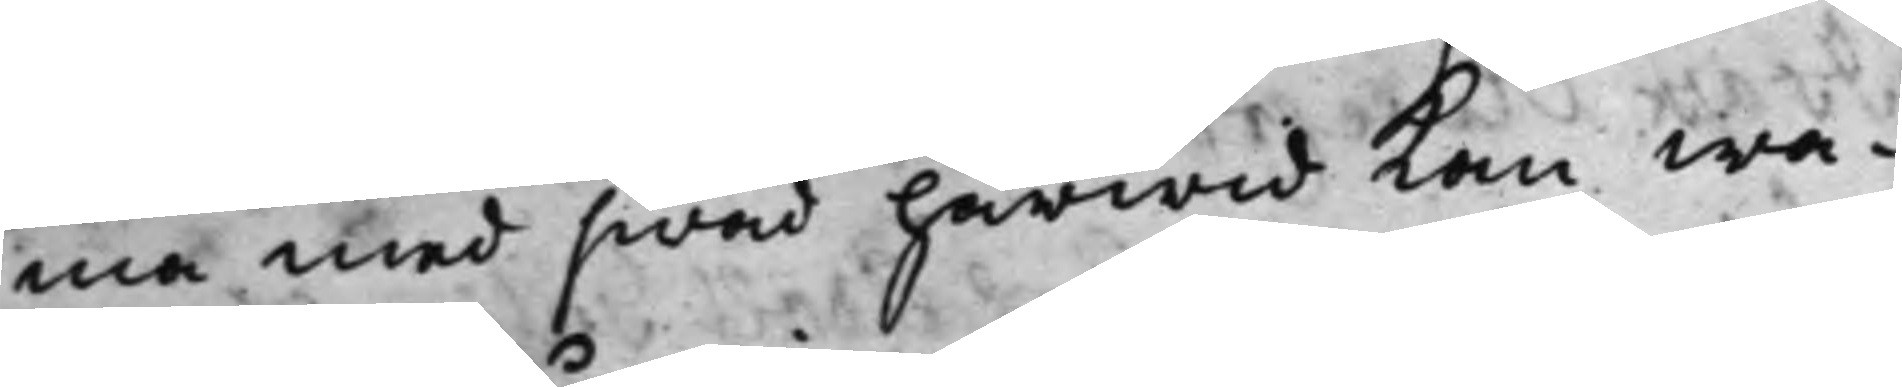ma med hwad härwid kan wa¬
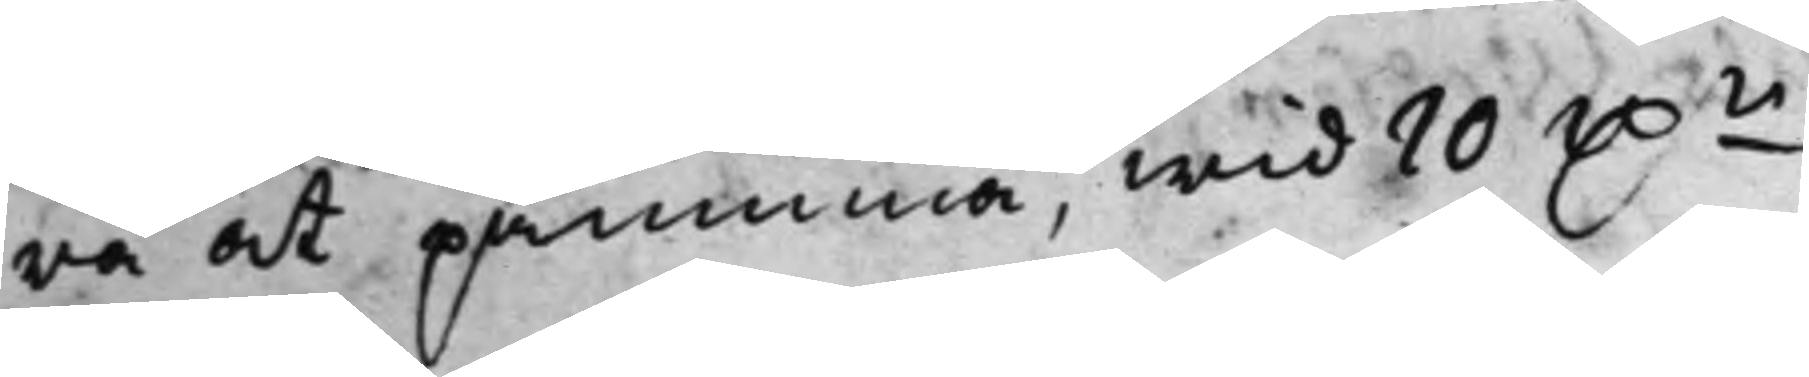ra at påminna, wid 10 D.r
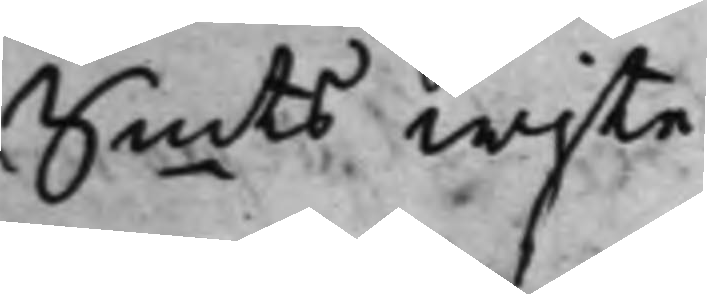Smts wijte.
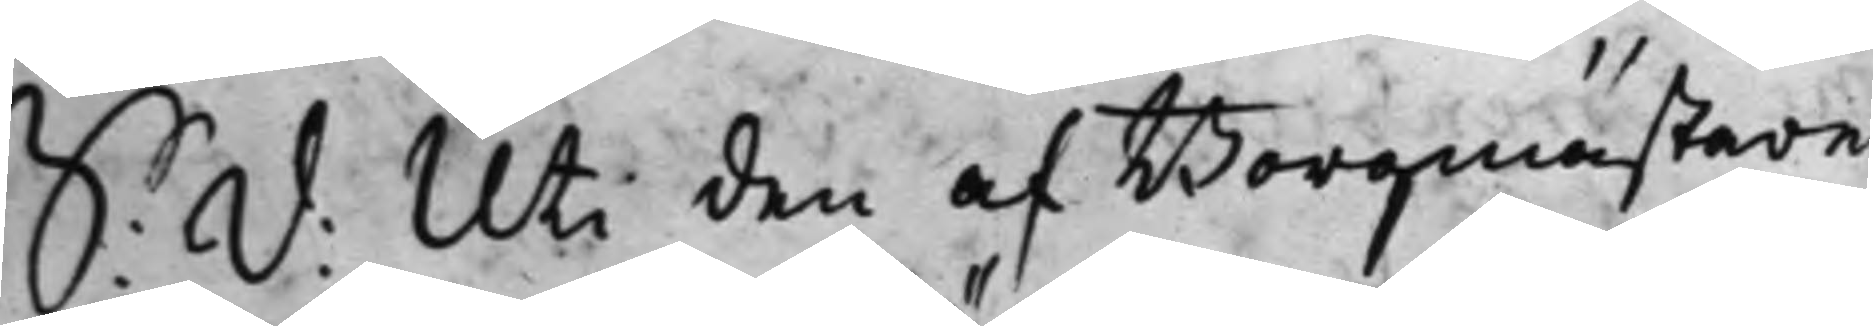S: d: Uti den af Borgmästare
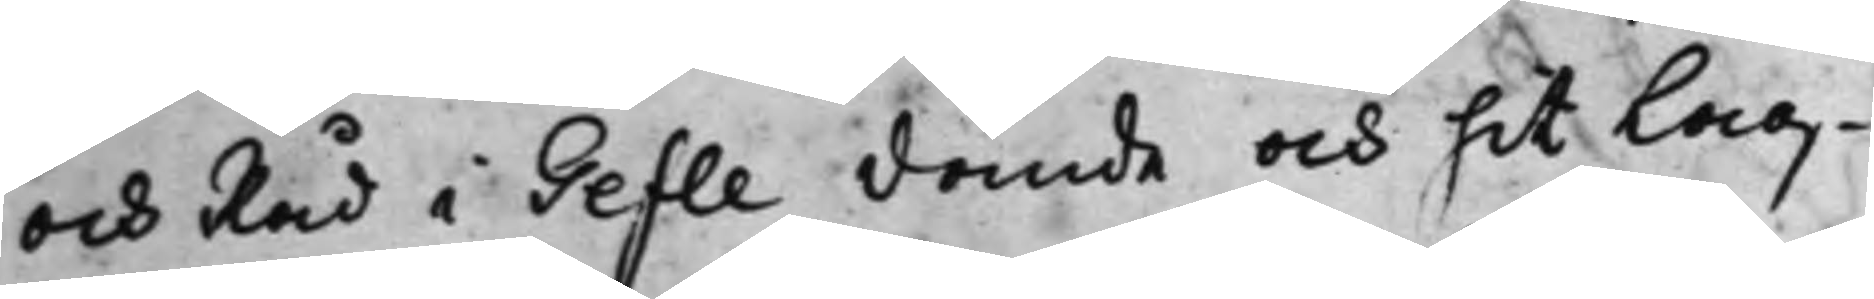och Råd i Gefle dömde och hit Lag¬
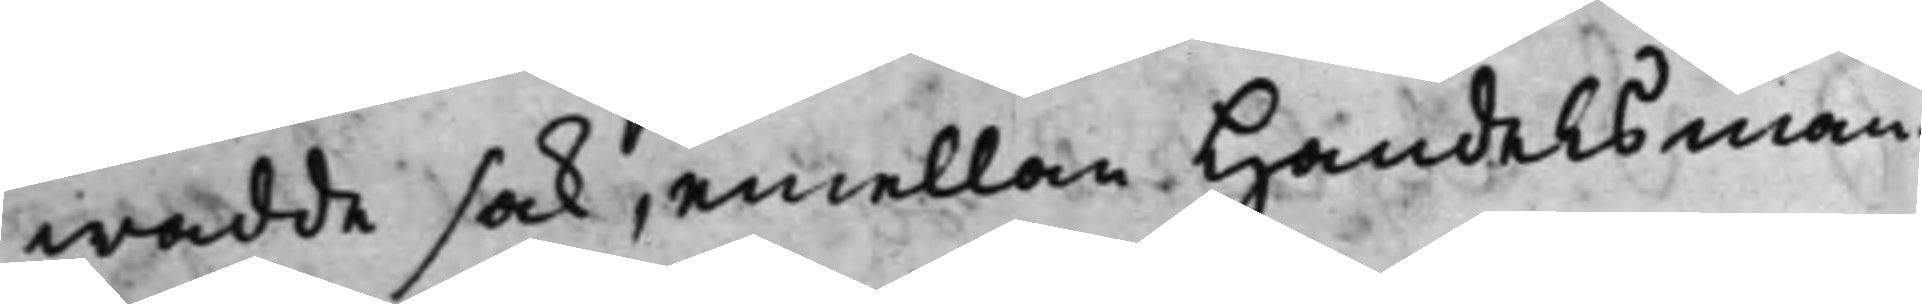wadde sak, emellan Handelsman¬
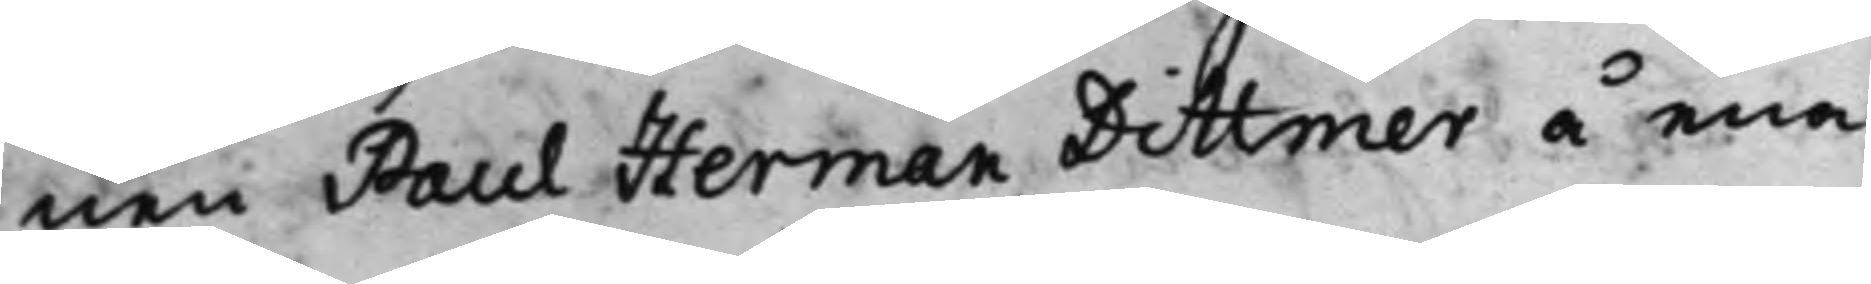nen Paul Herman Dittmer å ena
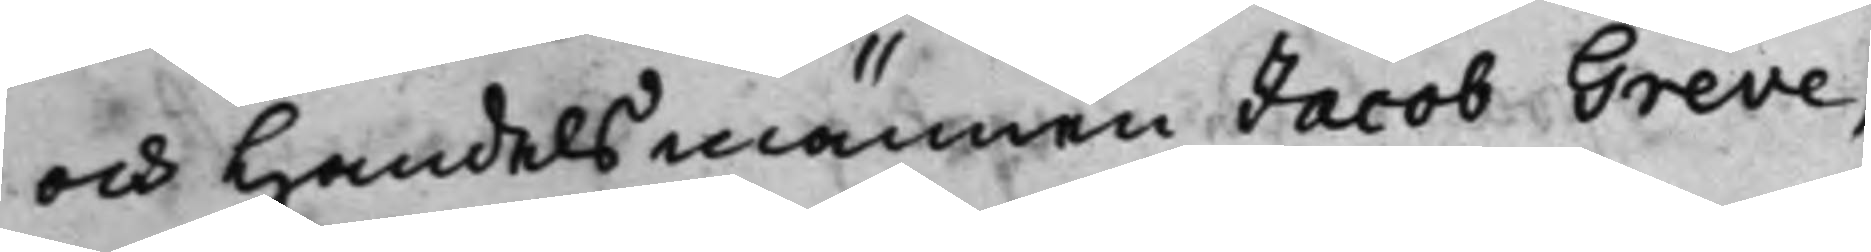och Handelsmannen Jacob Greve,
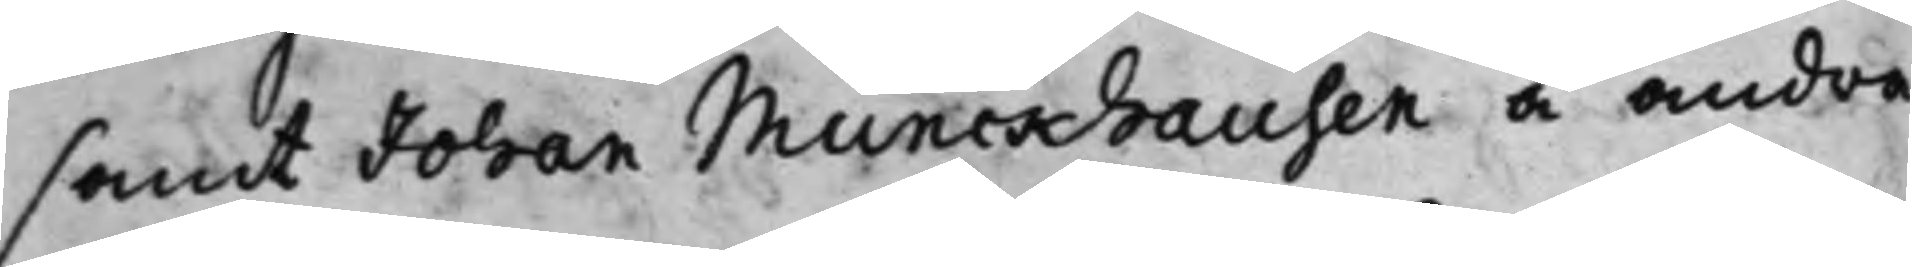samt Johan Munckhausen å andra
